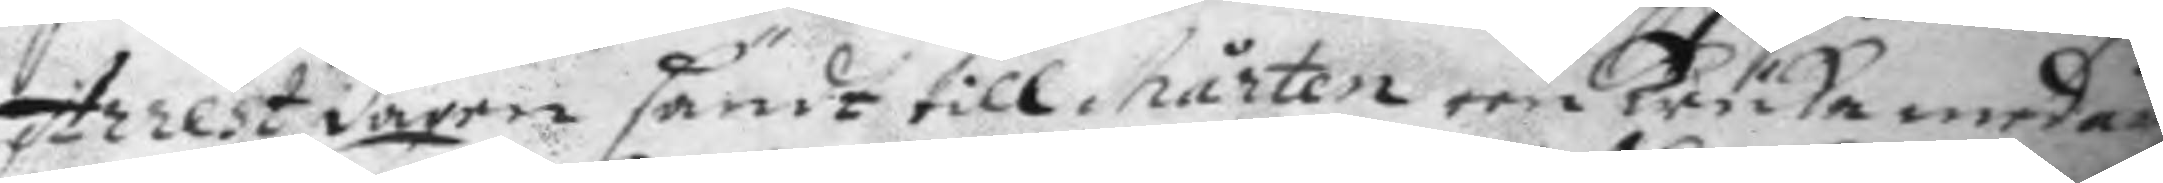Arrest dagen sändt till Mårten een krika med än
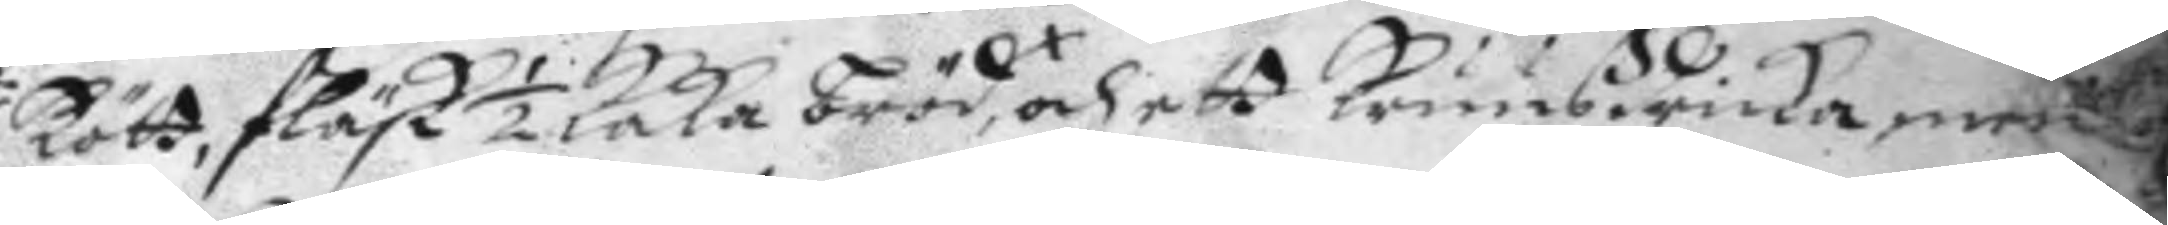kött, fläsk ½ kaka bröd, och ett kruus dricka, men
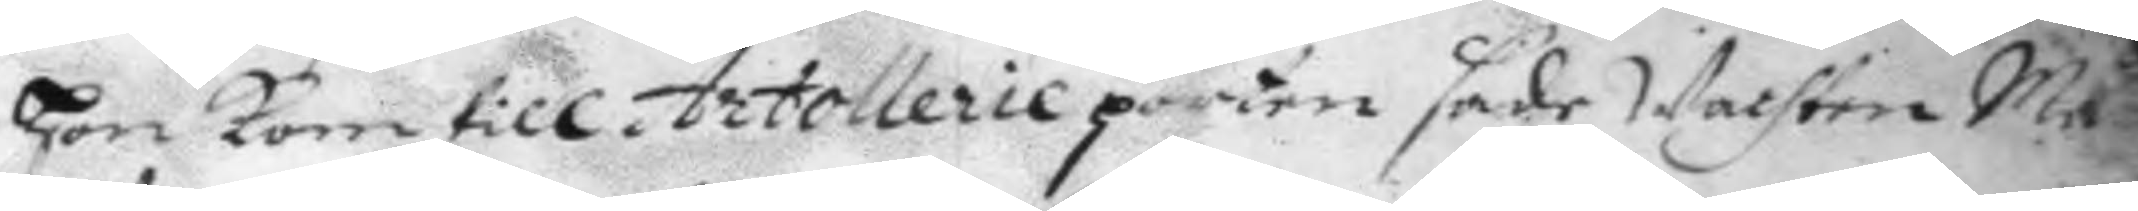hon kom till Artollerie porten sade Wachten Ma
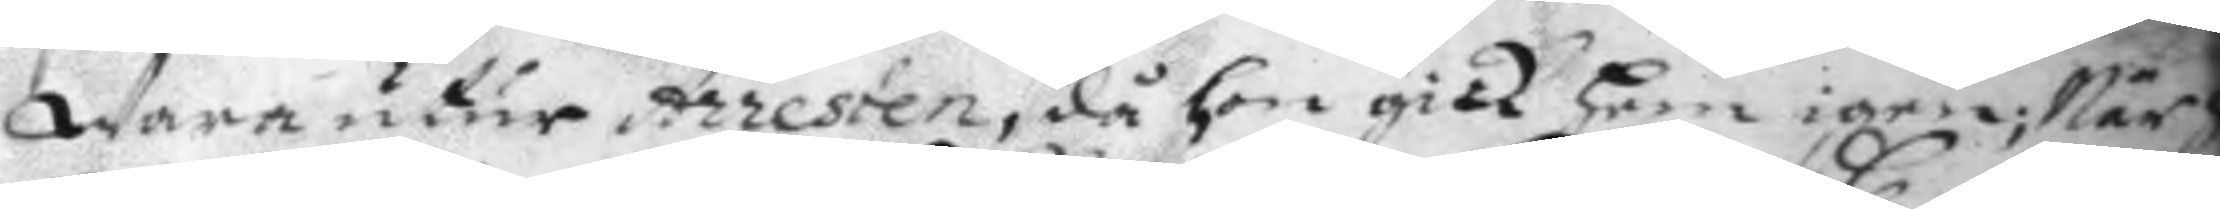Wara utur Arresten, då hon gick hem igen; När ho
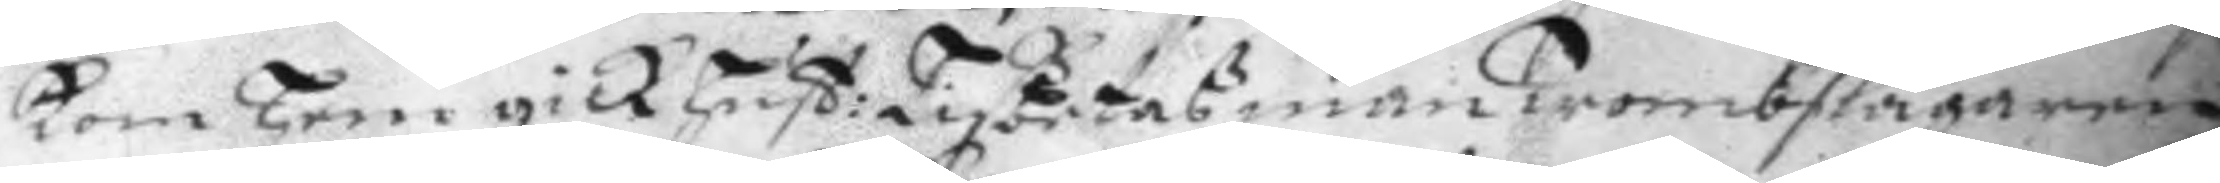kom hem gick hust: Lißbetaß man Trombslagaren
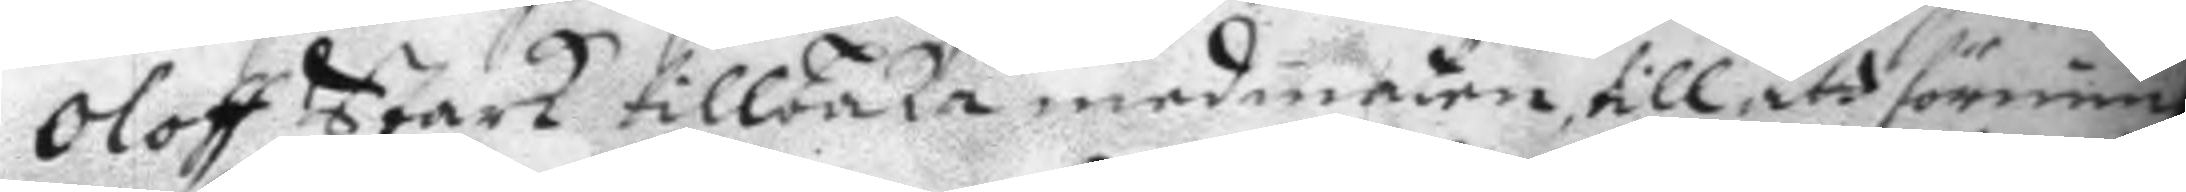Oloff Stark tillbaka med maten, till att förnim
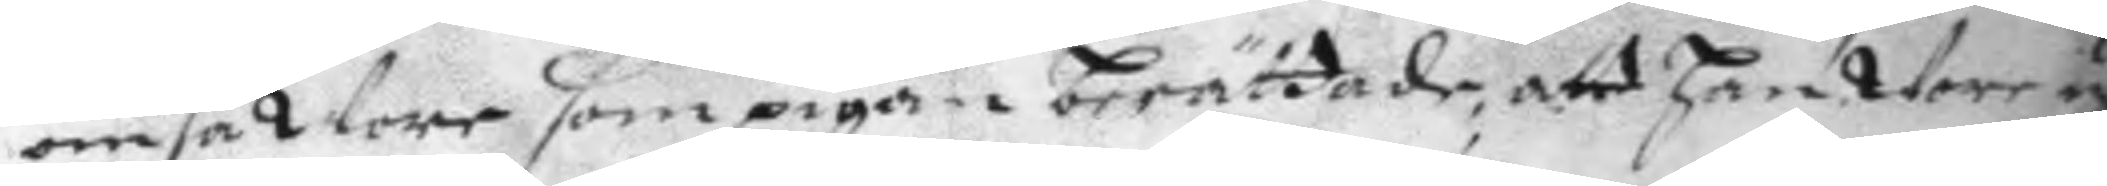om så War som pigan berättade, att han Wore u
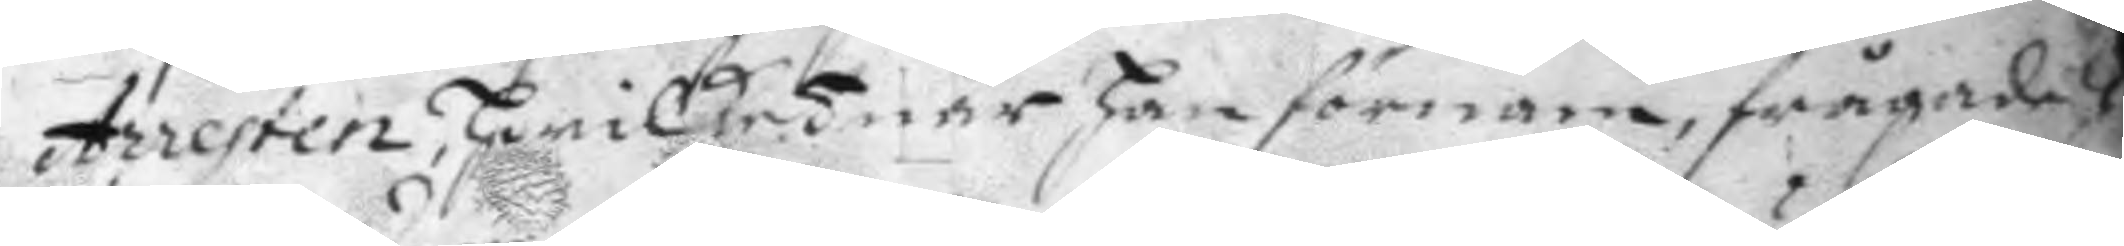Arresten, hwilket när han förnam, frågade
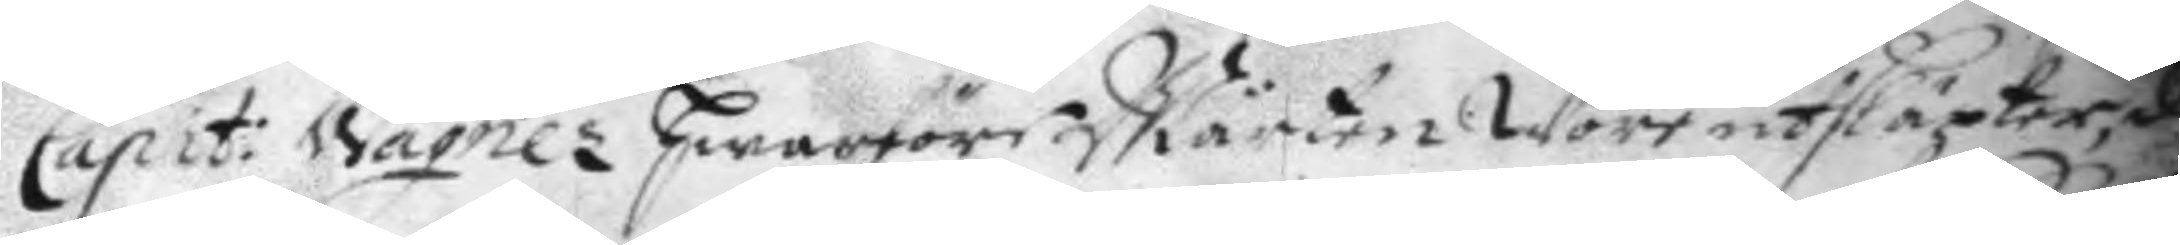Capit: Wagner hwarföre Mårten Wore utsläpter, d
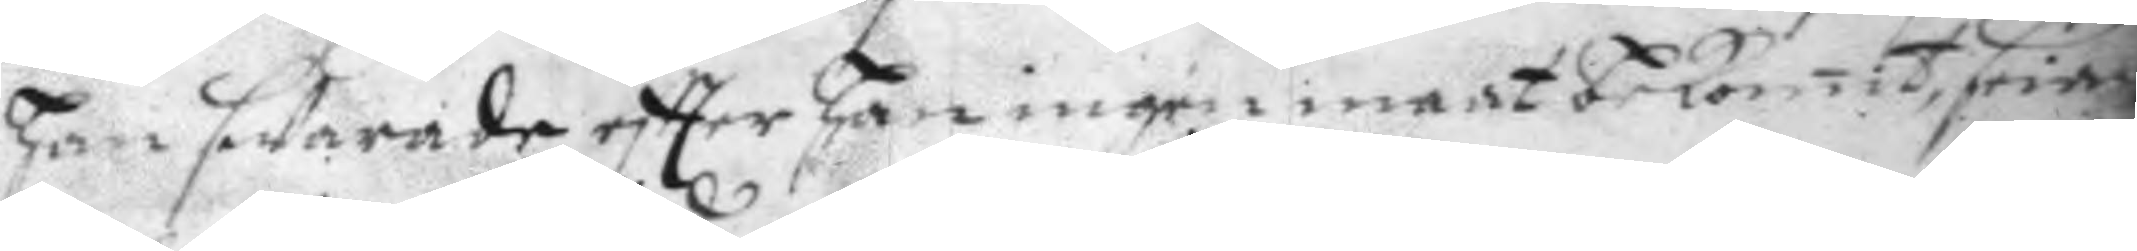han sWarade eftter han ingen maat bekomit, sria
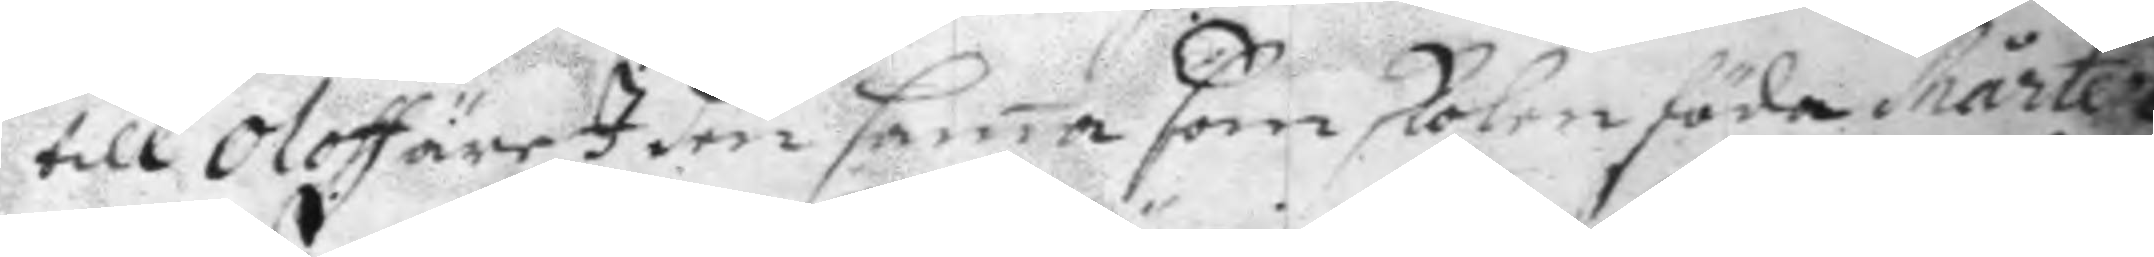till Oloff äre I den sama som skola föda Mårten
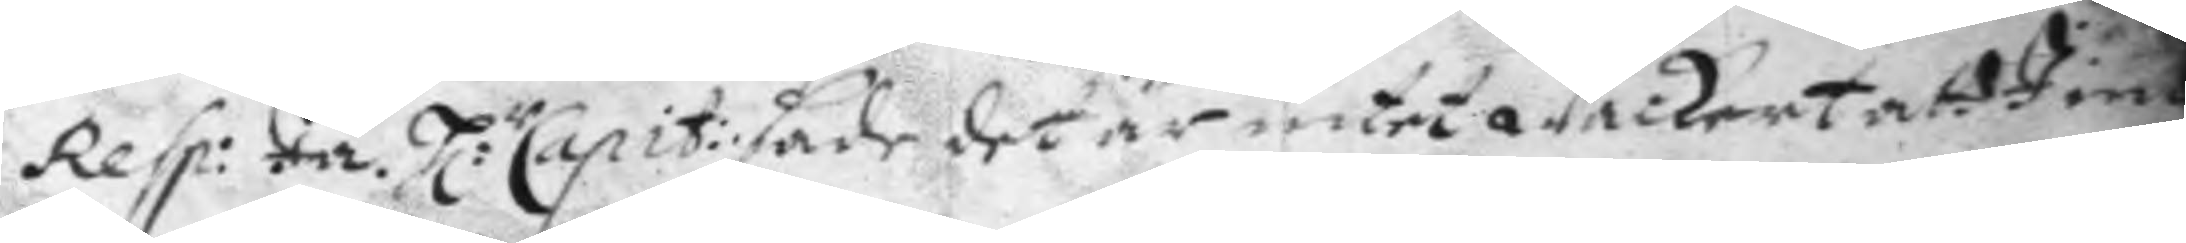Resp: Ja. H:r Capit: sade det är intet wackert att Iim
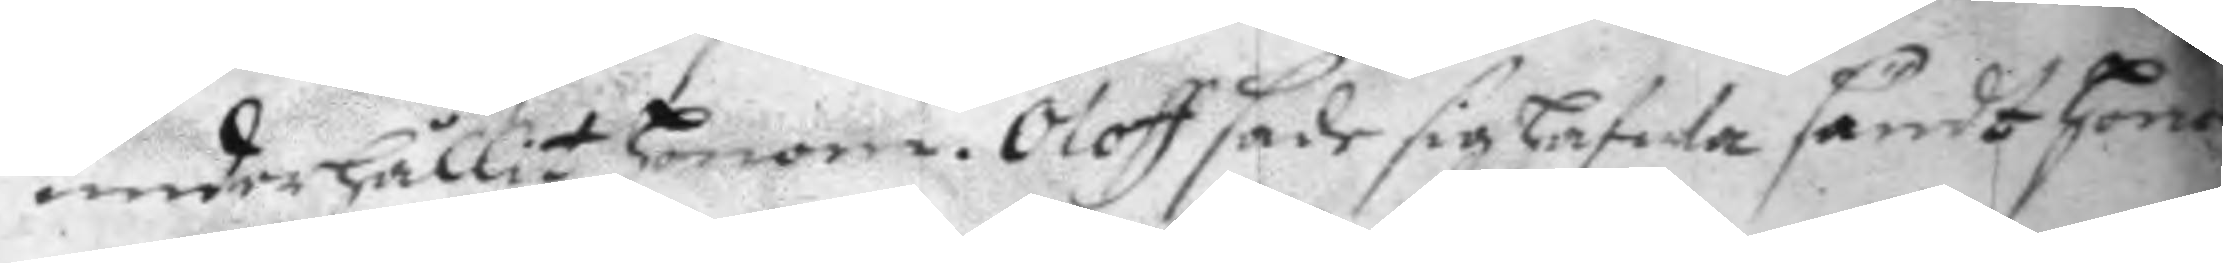underhållit honom. Oloff sade sig hafWa sändt honom
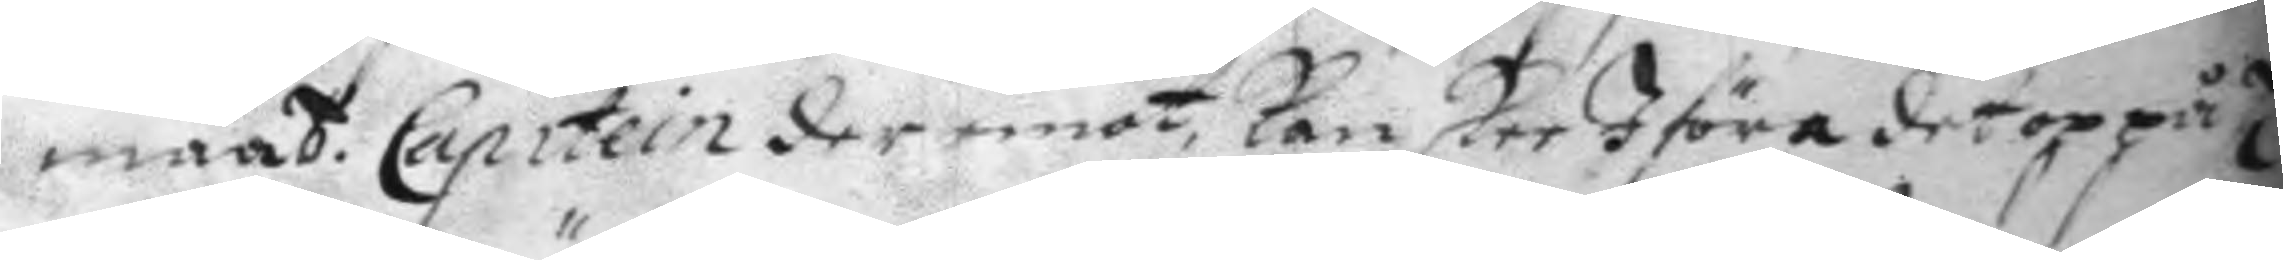maat. Capitein der emot, kan skee I föra det op på H
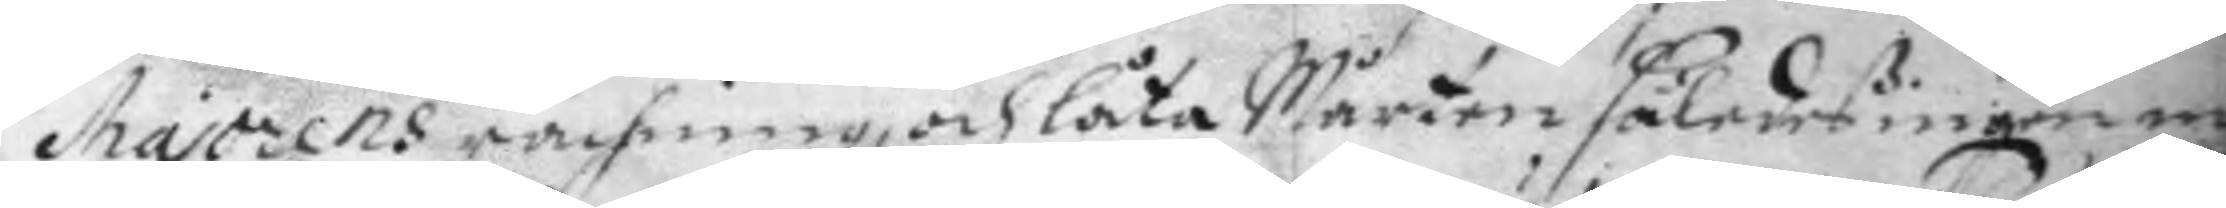Majorens rächning, och låta Mårten således ingen ma
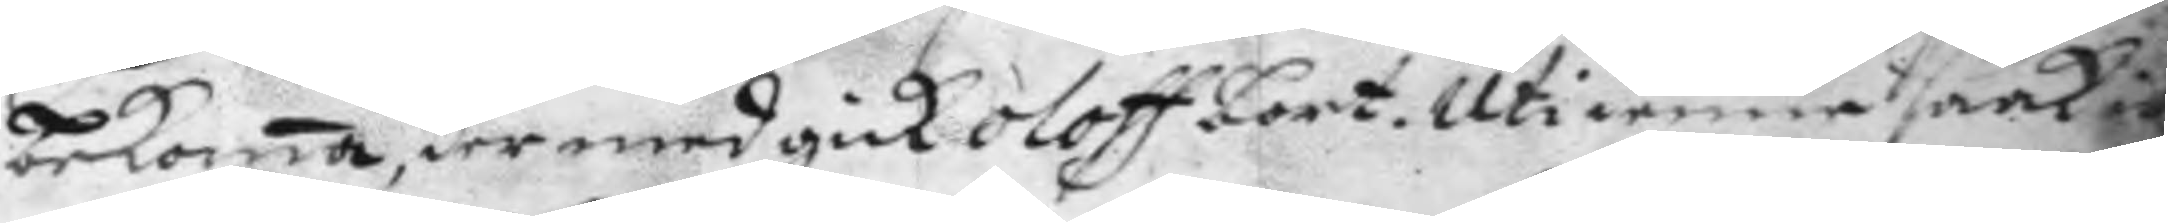bekoma, der med gick Oloff bort. Uti denna saak id
